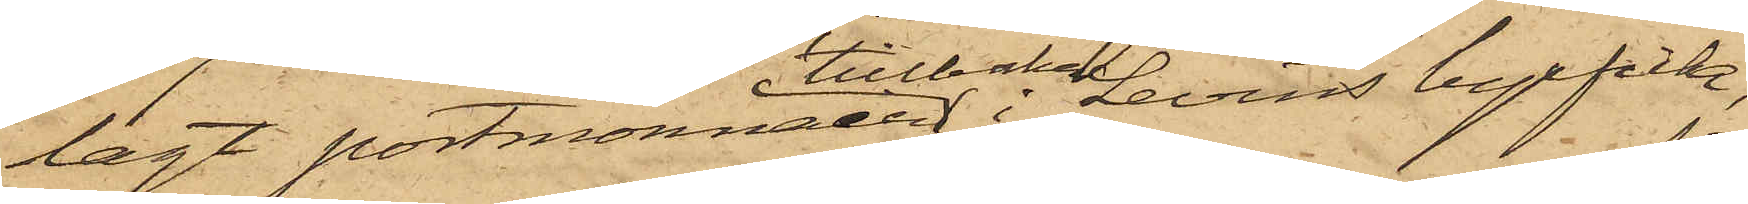lagt portmonnaien tillbaka i Levins byxficka;
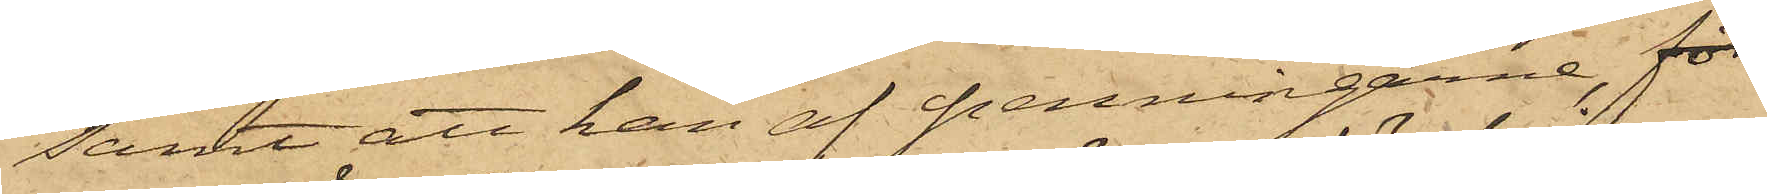samt att han af penningarne, för¬
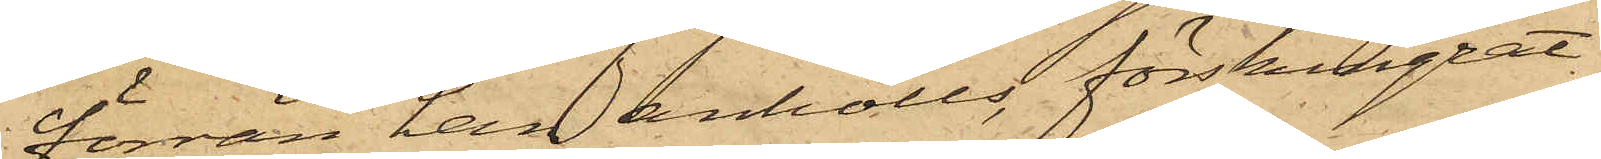förrän han anhölls, förskingrat
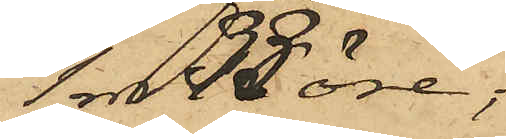1 rdr 50 öre;
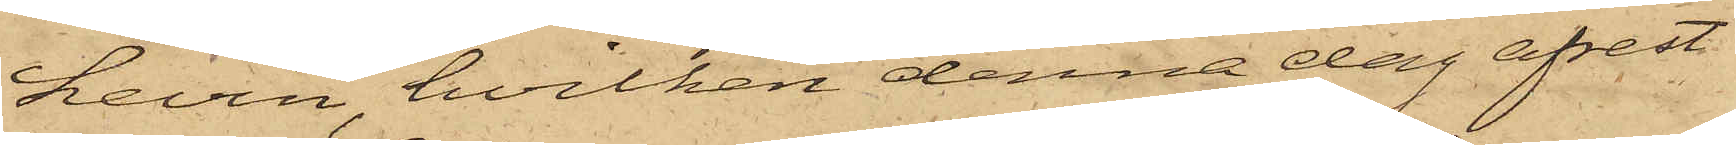Levin, hvilken denna dag afrest
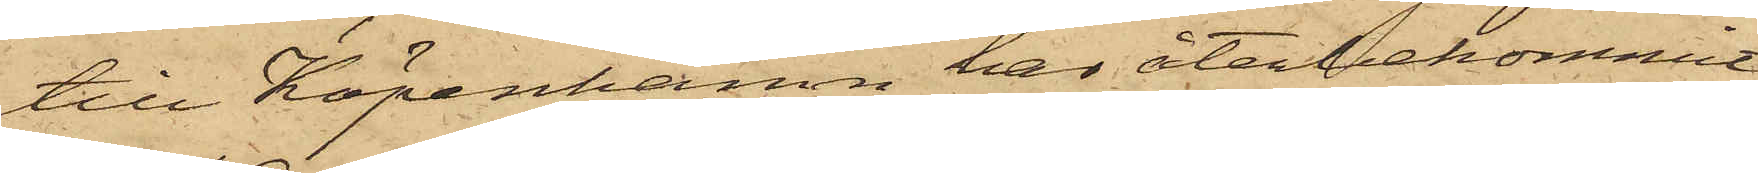till Köpenhamn, har återbekommit
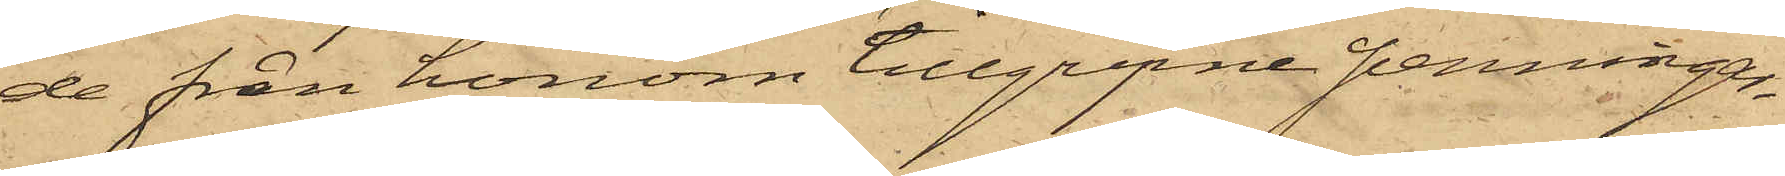de från honom tillgripne penningar¬
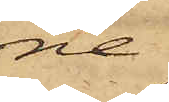ne.
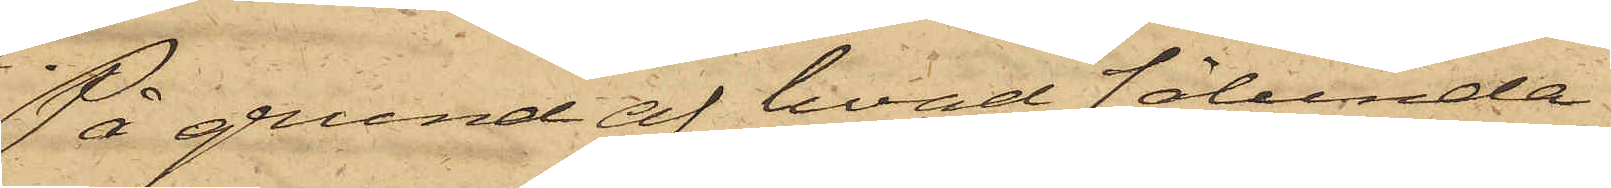På grund af hvad sålunda
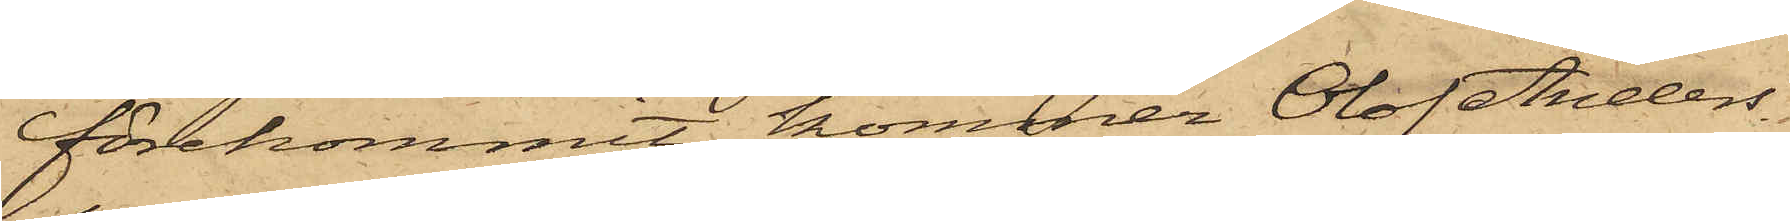förekommit, kommer Olof Anders¬
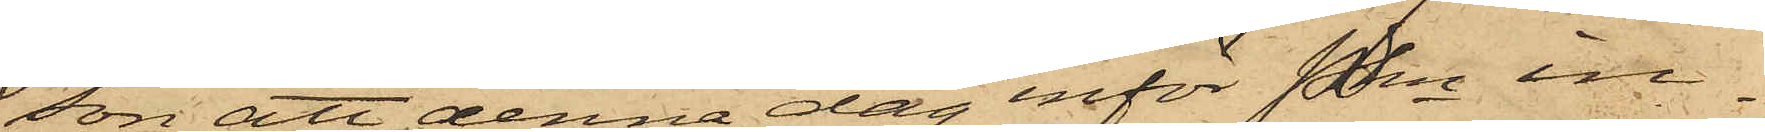son att denna dag inför Pkn in¬
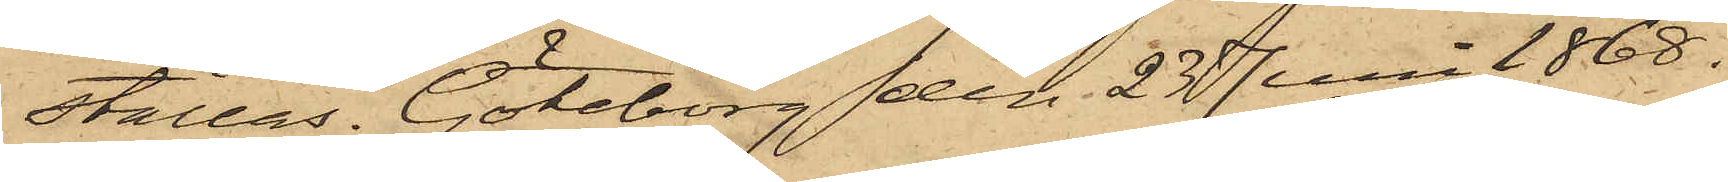ställas. Göteborg den 23 Juni 1868.
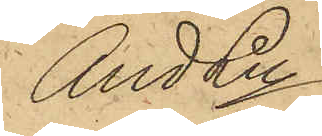And Ln
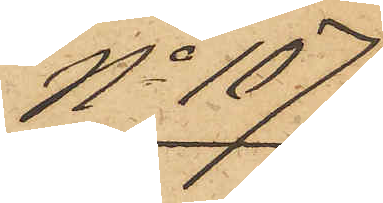No 107
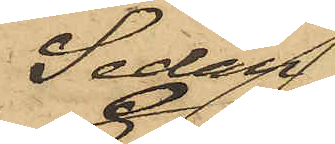Sedan
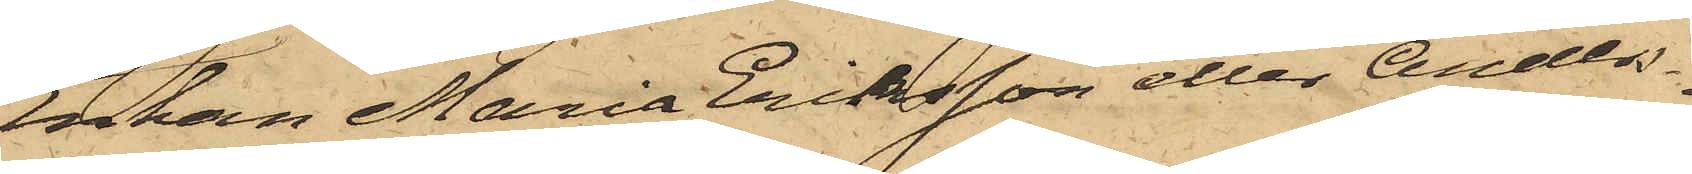Enkan Maria Eriksson eller Anders¬
